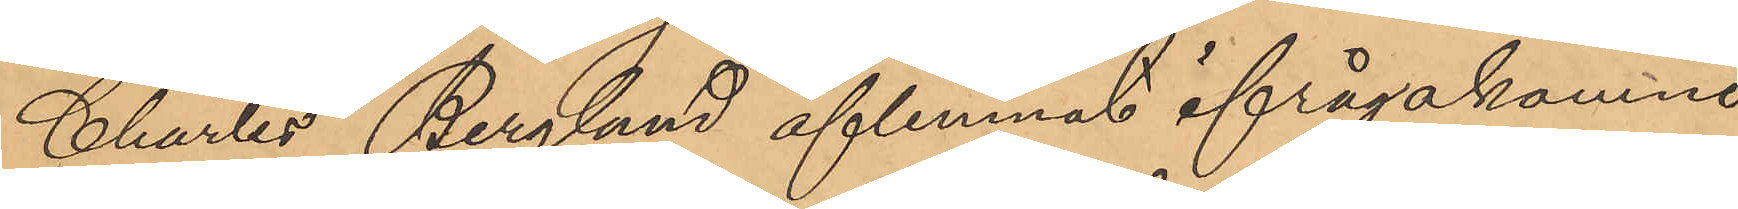Charles Berglund aflemnat ifrågakomne
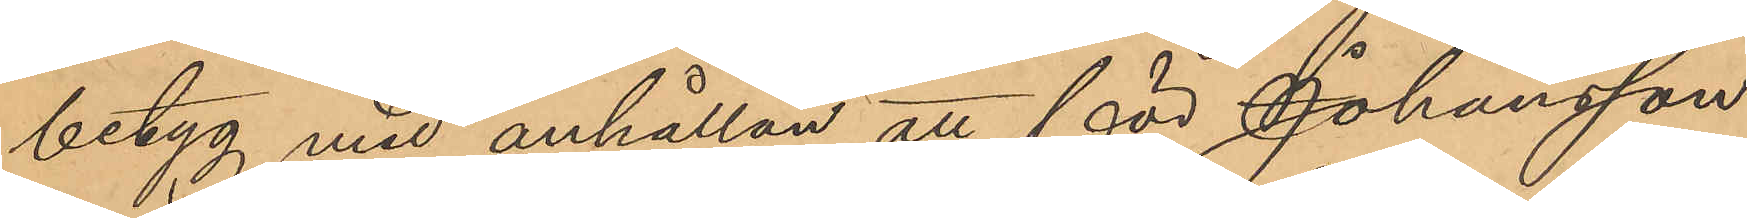betyg med anhållan att för Johansson
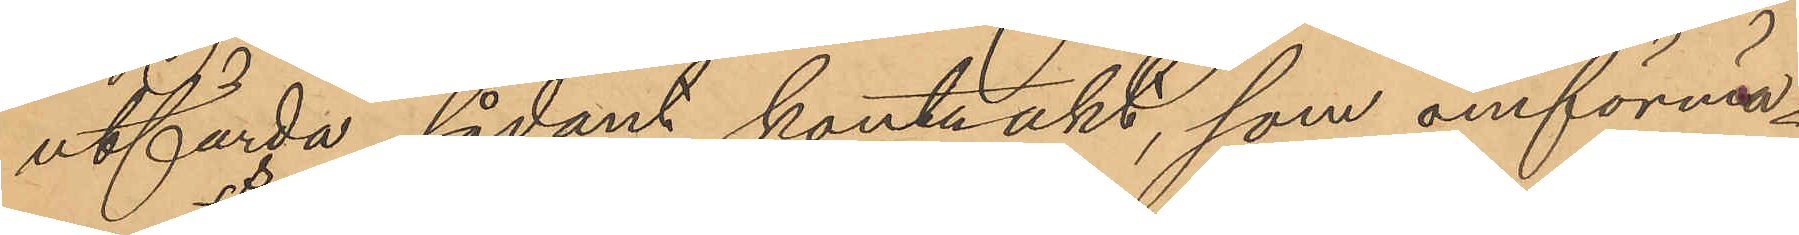utfärda sådant kontrakt, som omförmä¬
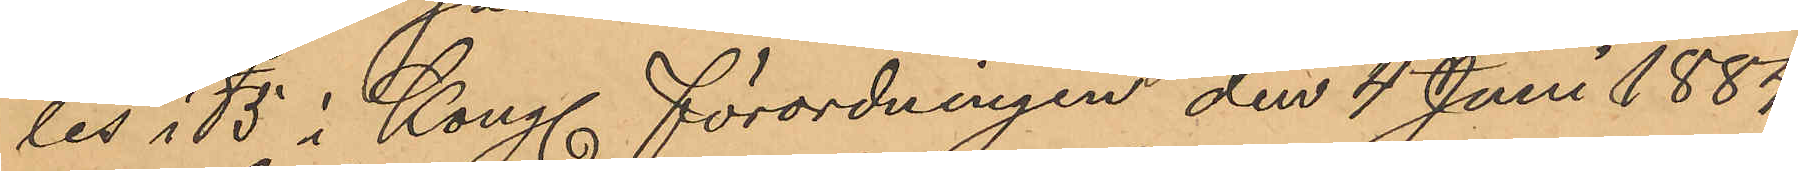les i § 5 i Kongl. förordningen den 4 Juni 1884
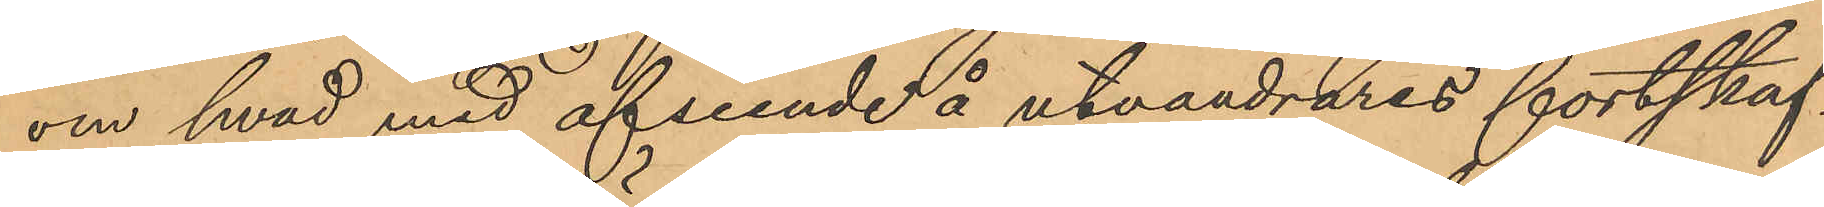om hvad med afseende å utvandrares fortskaf¬
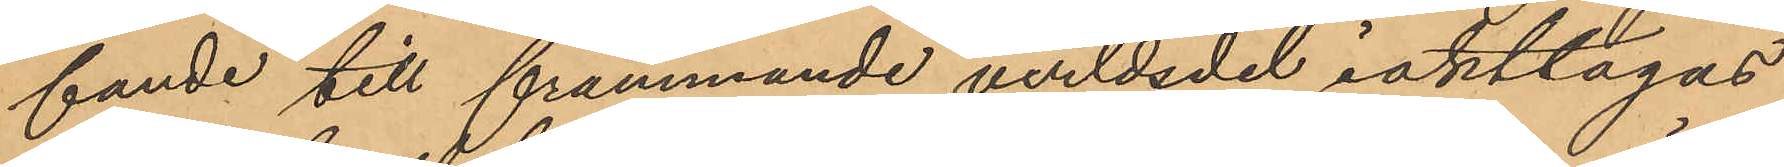fande till främmande verldsdel iakttagas
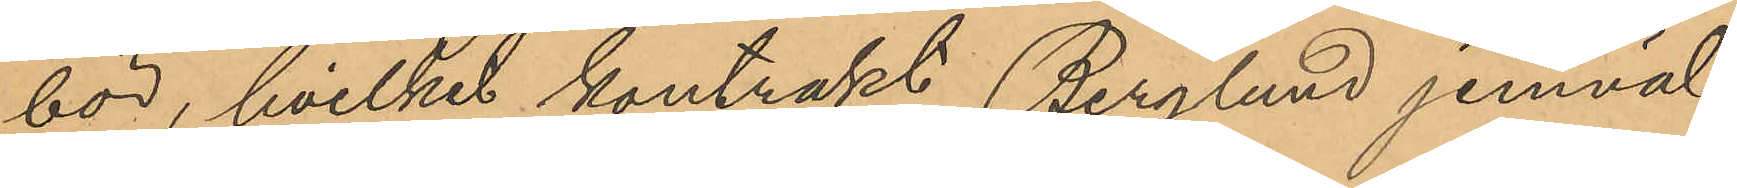bör, hvilket kontrakt Berglund jemväl
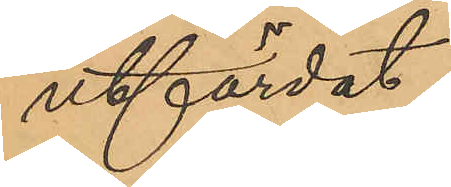utfärdat.
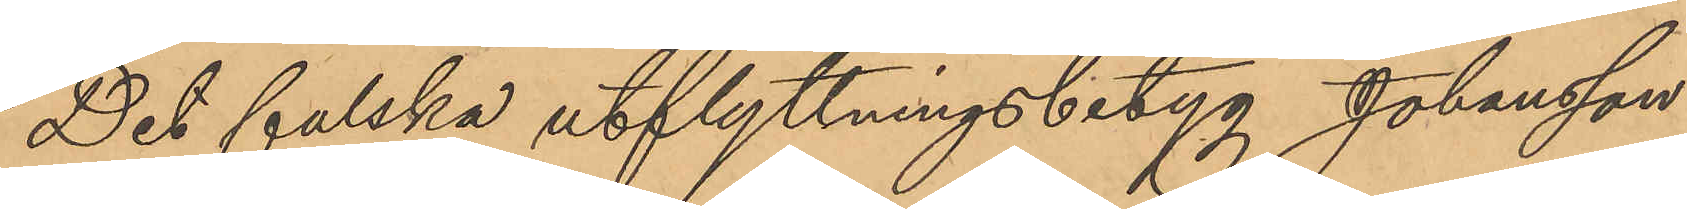Det falska utflyttningsbetyg Johansson
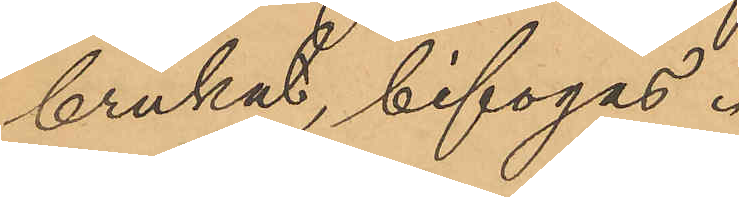brukat, bifogas.
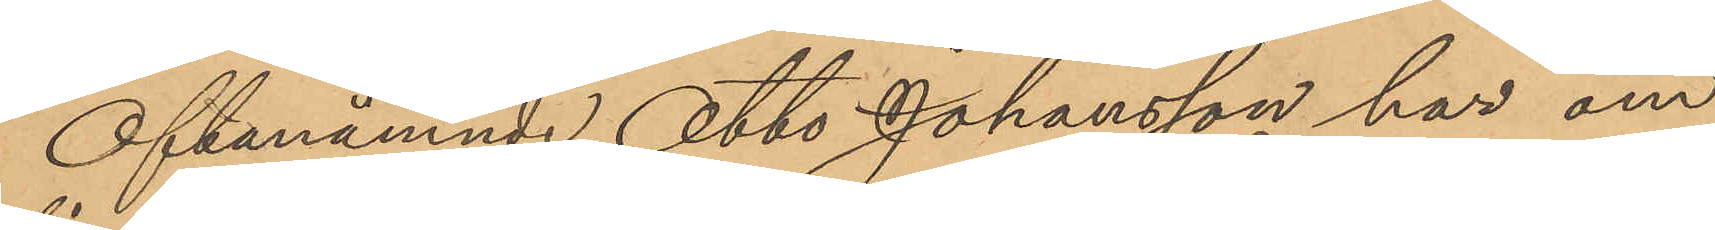Oftanämnde Otto Johansson har om
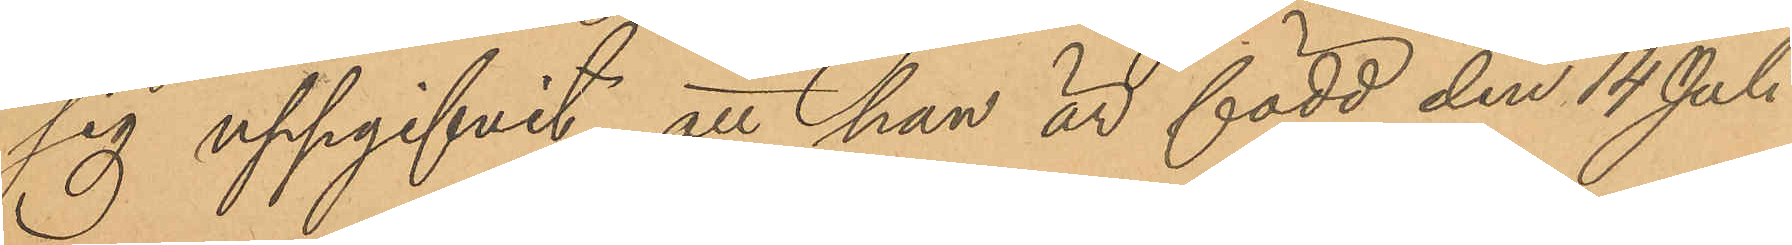sig uppgifvit, att han är född den 14 Juli
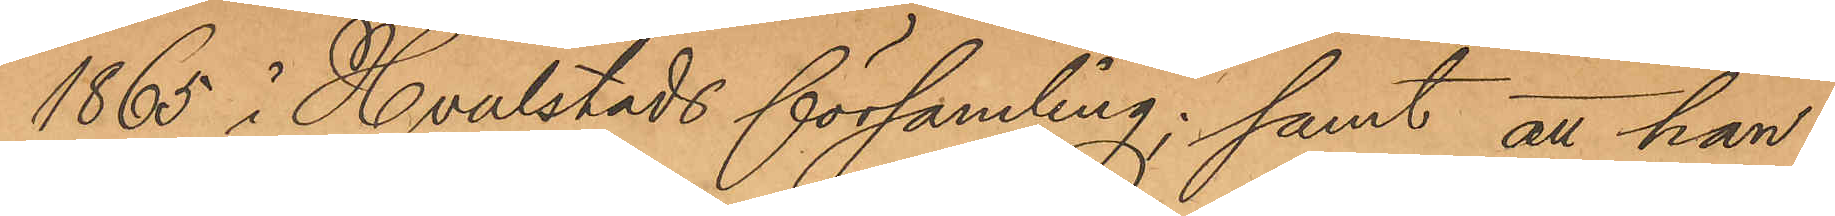1865 i Hvalstads församling; samt att han
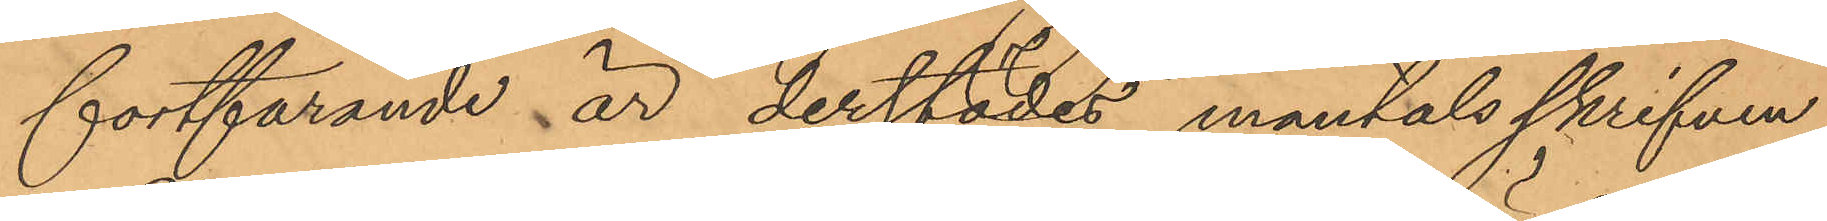fortfarande är derstädes mantalsskrifven.
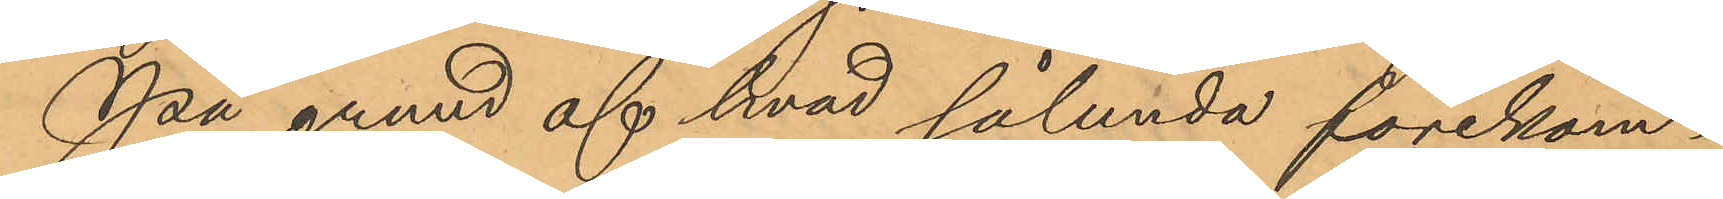På grund af hvad sålunda förekom¬
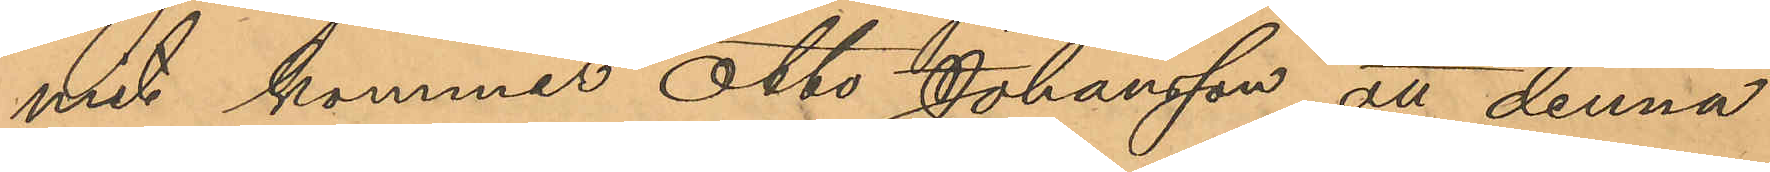mit kommer Otto Johansson att denna
